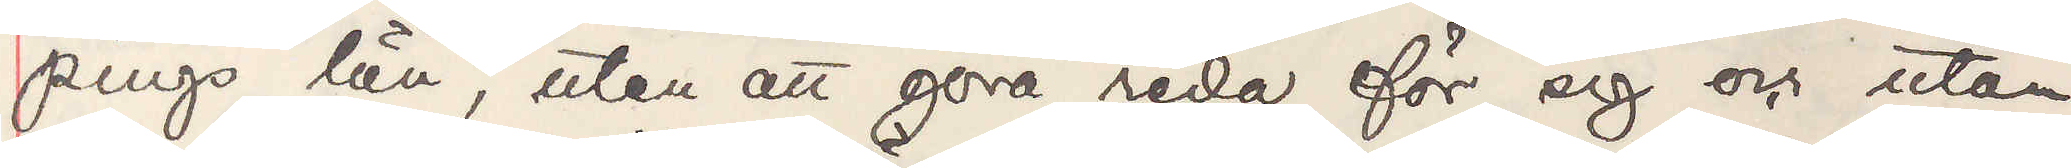pings län, utan att göra reda för sig utan 
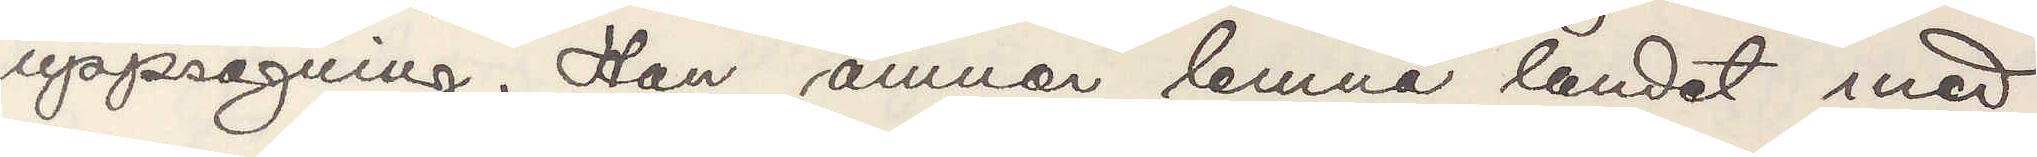uppsägning. Han ämnar lemna landet med
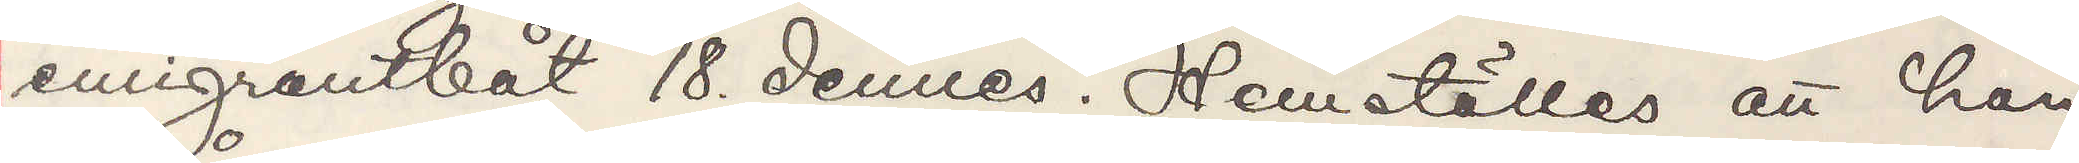emigrantbåt 18. dennes. Hemställes att han
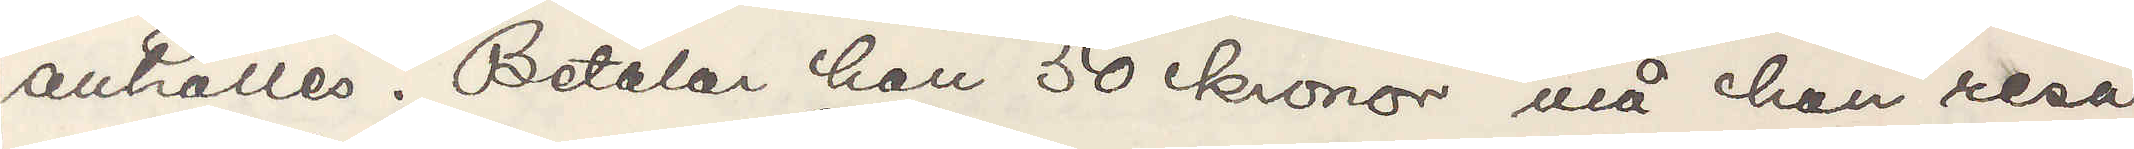anhålles. Betalar han 50 kronor må han resa
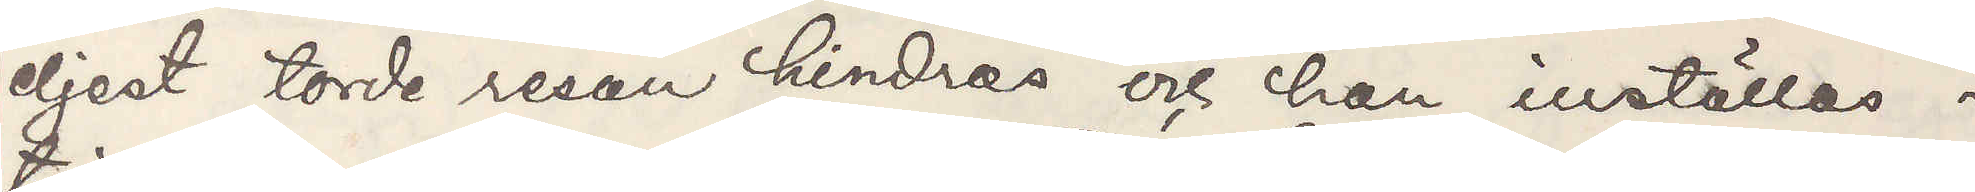eljest torde resan hindras och han inställas i
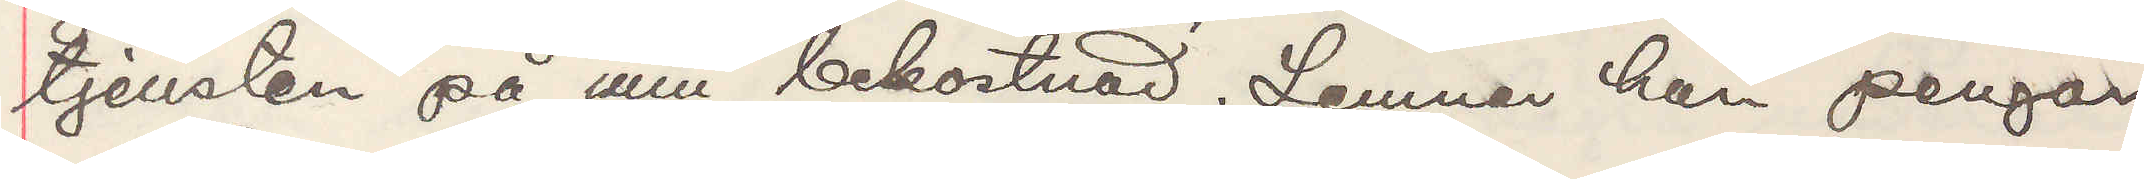tjensten på min bekostnad. Lemnar han pengar
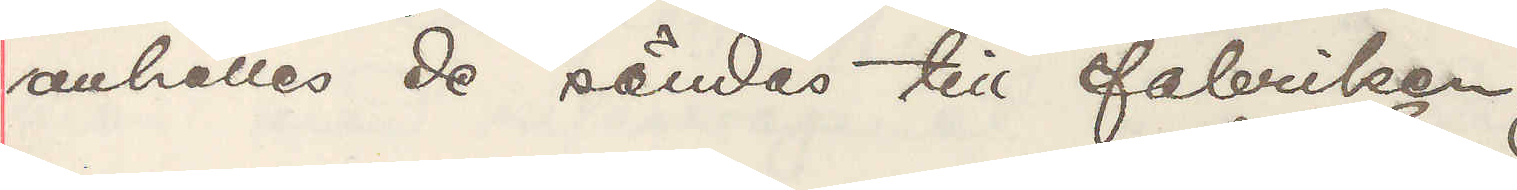anhålles de sändes till fabriken.
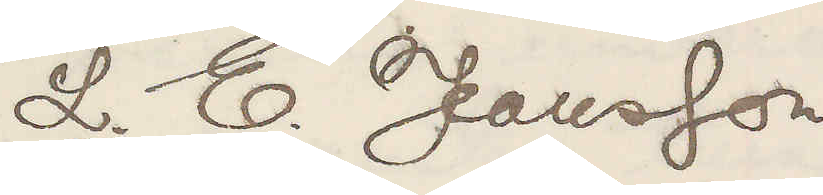L. E. Jeansson
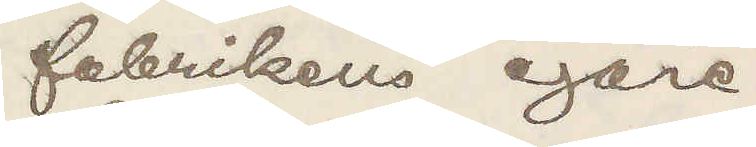fabrikens egare
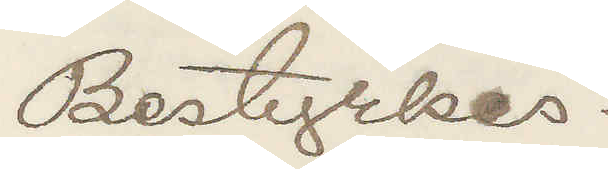Bestyrkes:
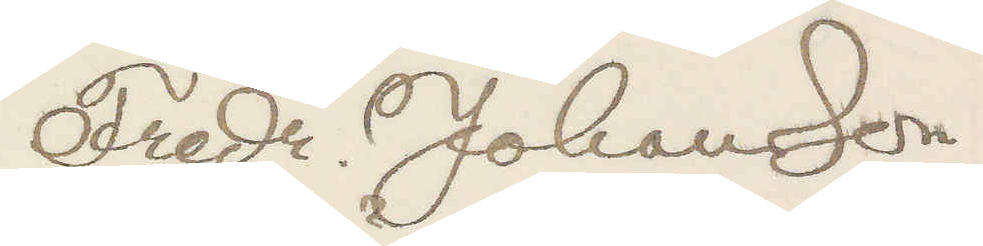Fredr. Johansson
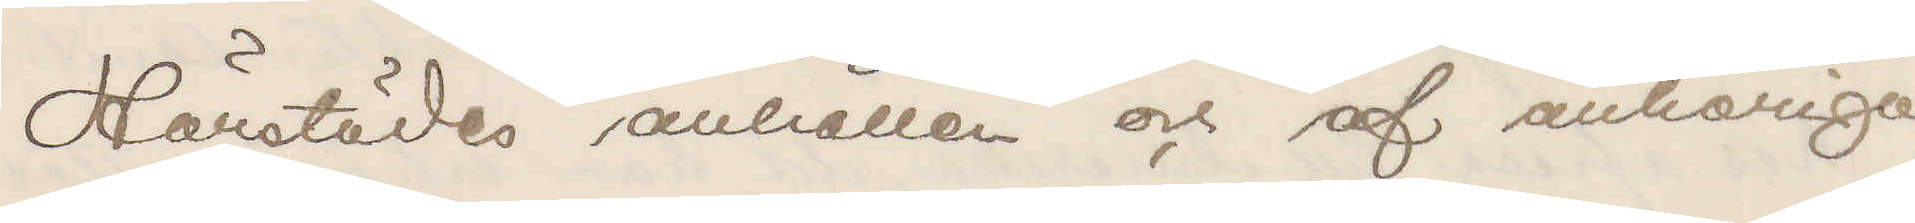Härstädes anhållen och af anhöriga
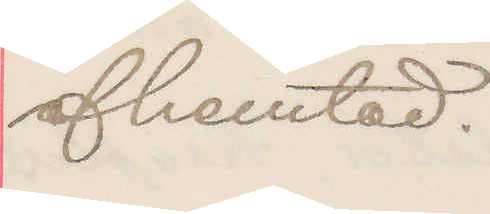afhemtad.
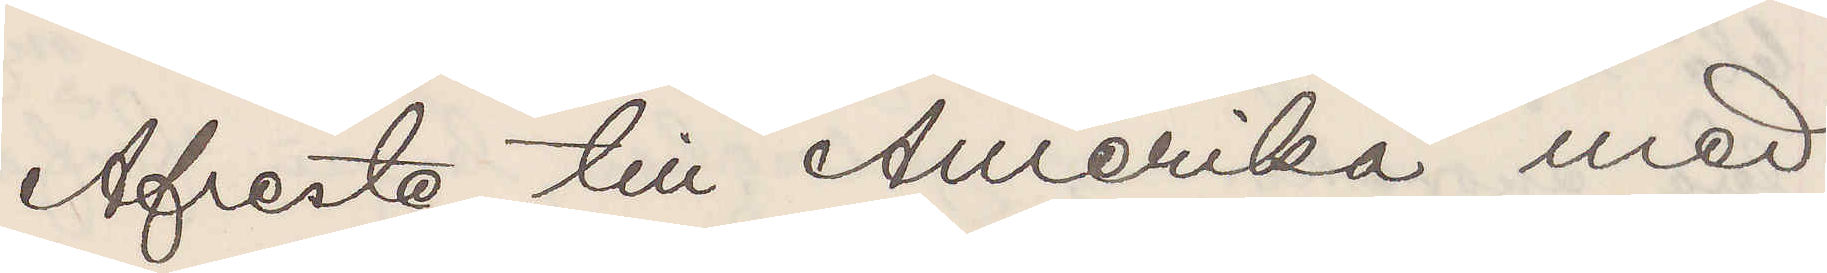Afreste till Amerika med
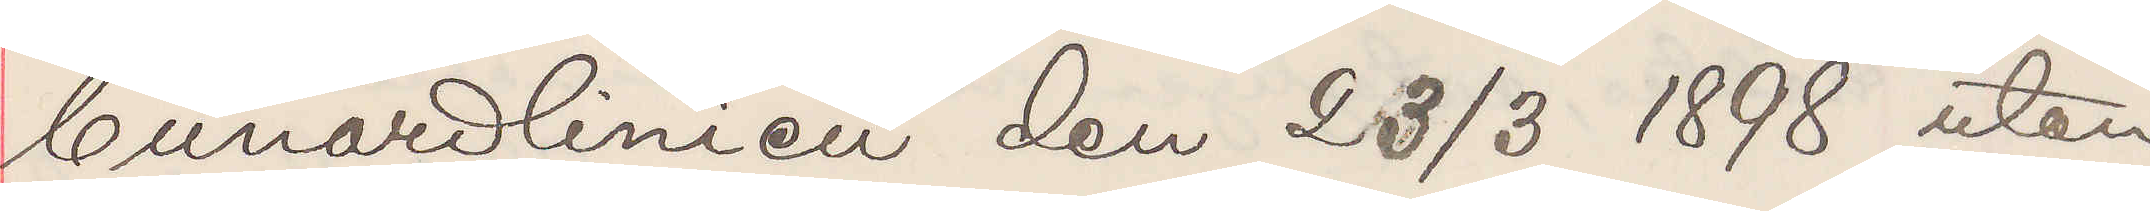Cunardlinien den 23/3 1898 utan
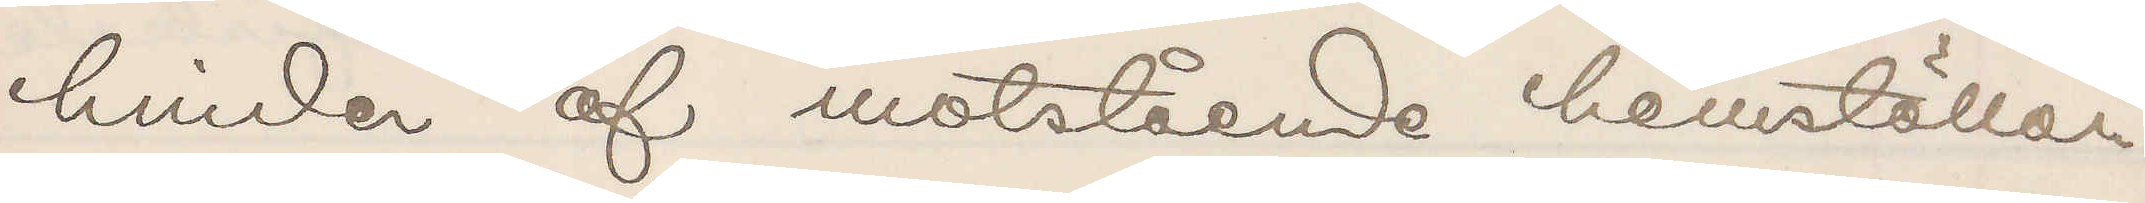hinder af motstående hemställan.
